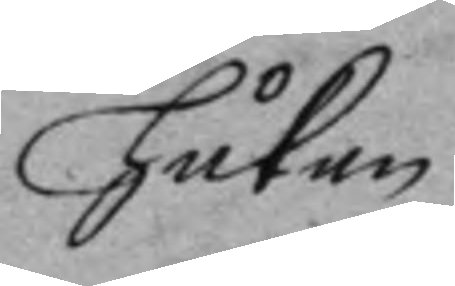Håkan
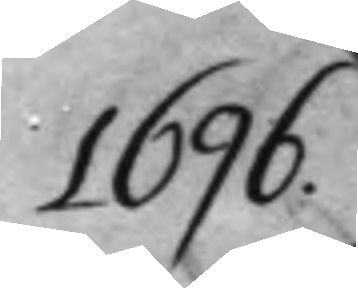1686.
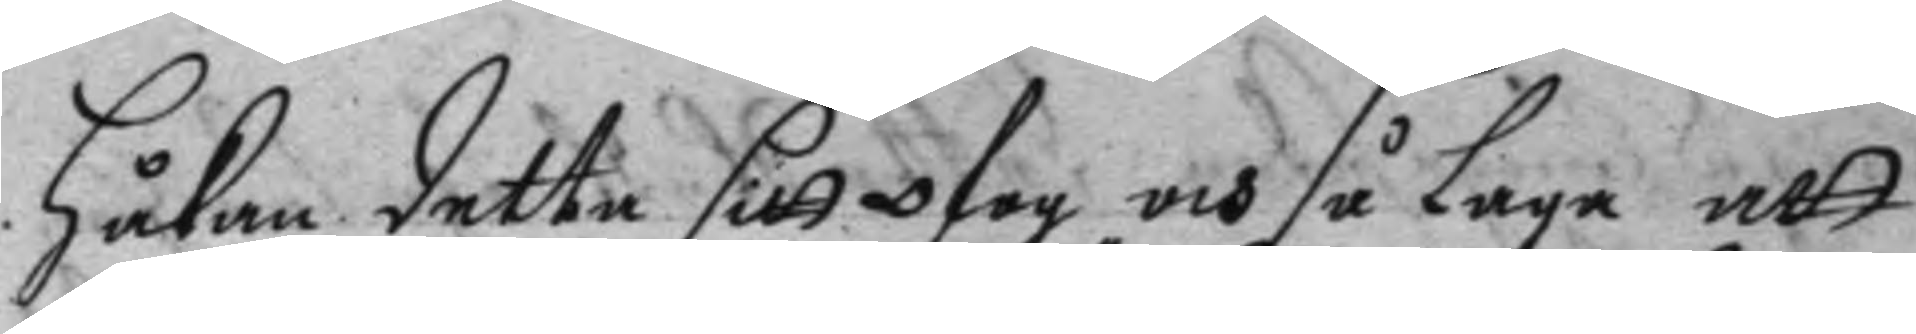Håkan detta sitt ofog, och så Laga att
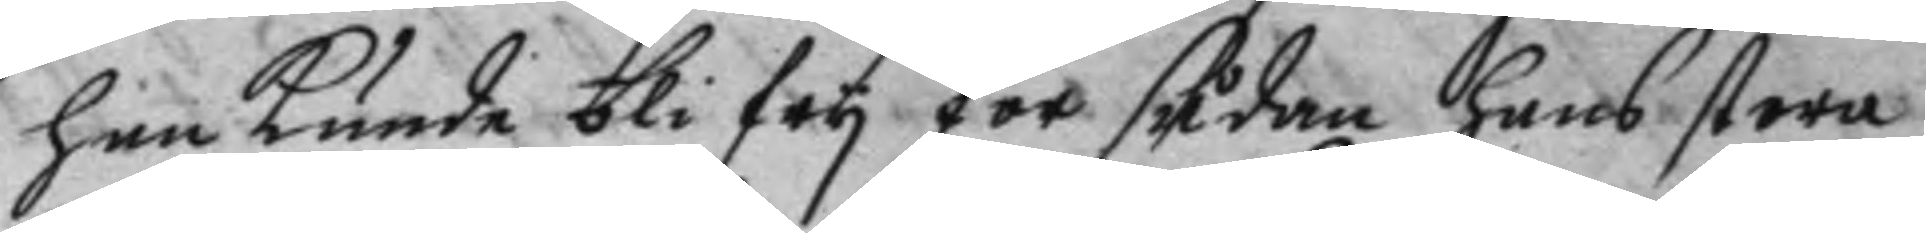han kunde bli fry för sådan hans stora
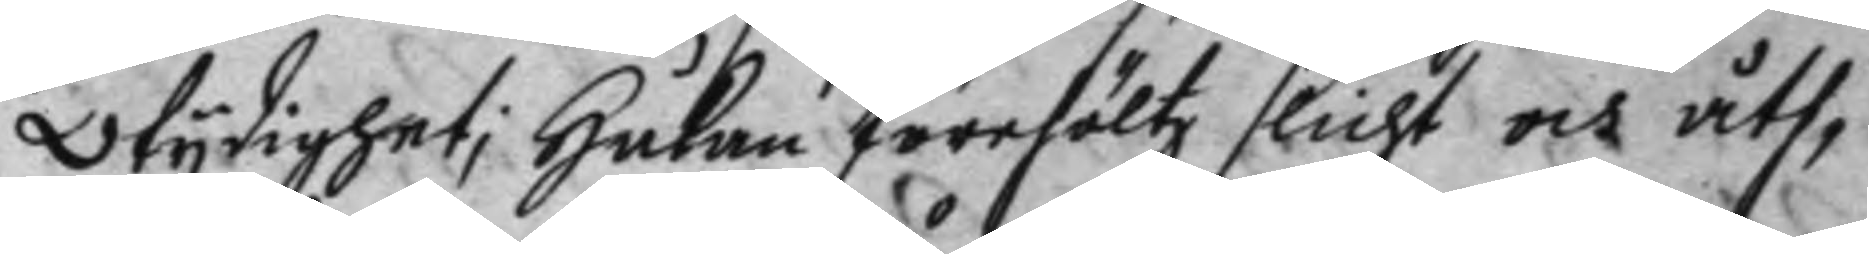Otydighet; Håkan förehöltz slicht och åth¬
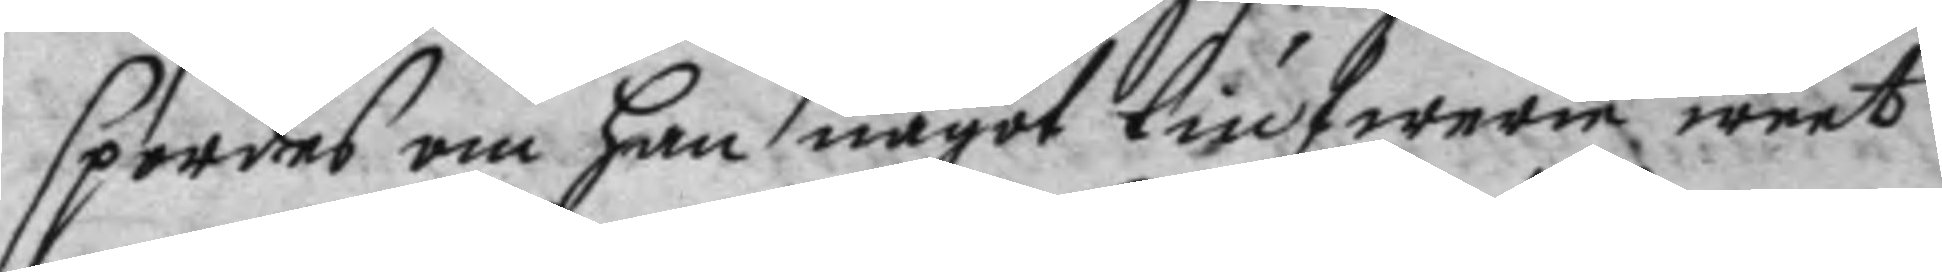spordes om han något tiufwerie weet
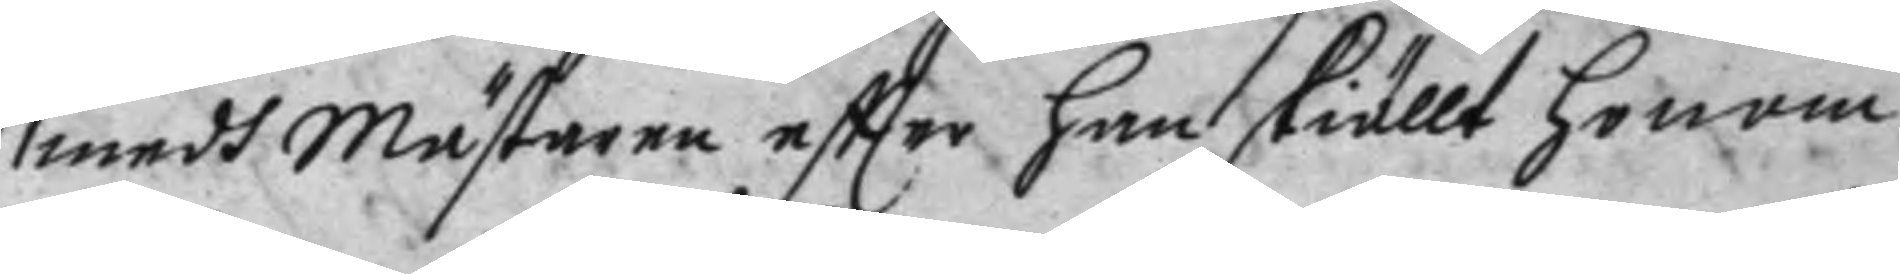mwdh mästaren eftter han skiällt honom
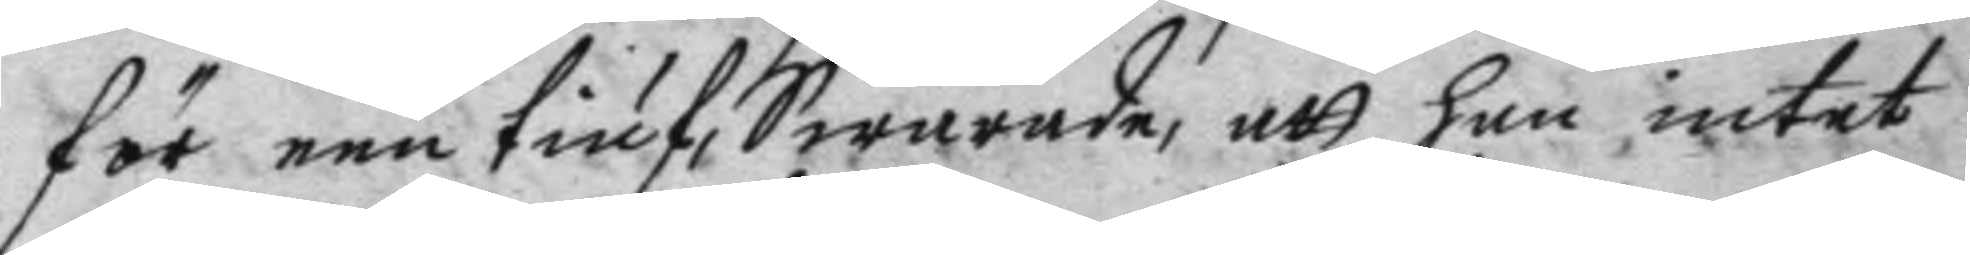för een tuif, Swarande, att han intet
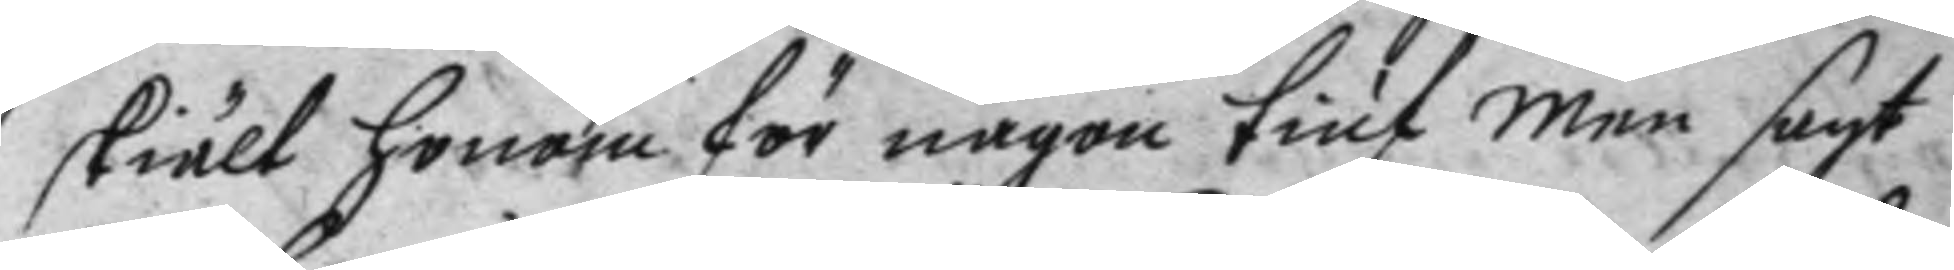skält honom för någon tuif men sagt
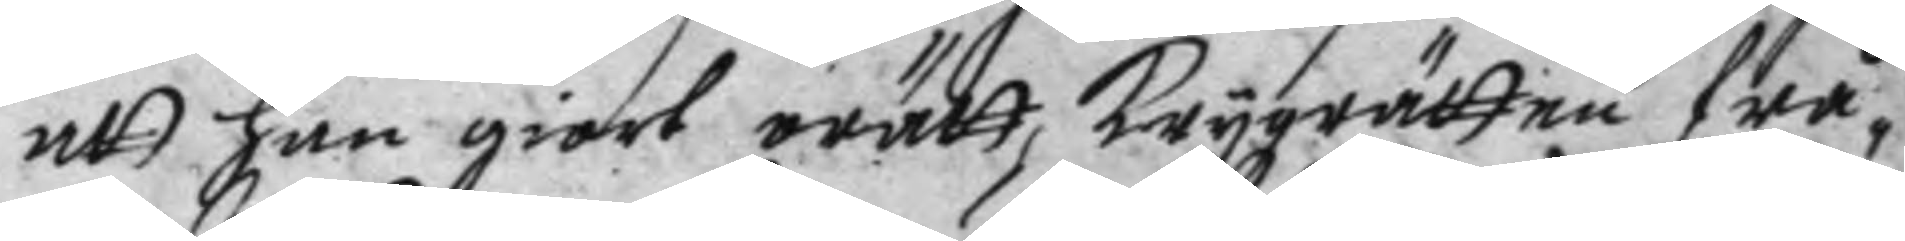att han giort orätt, Krygzrätten frå¬
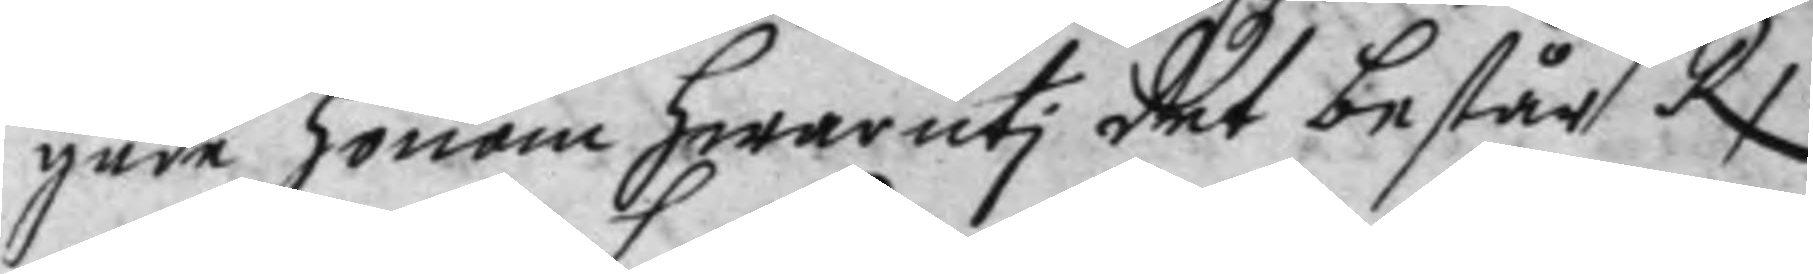gade honom hwaruti det består, Rx
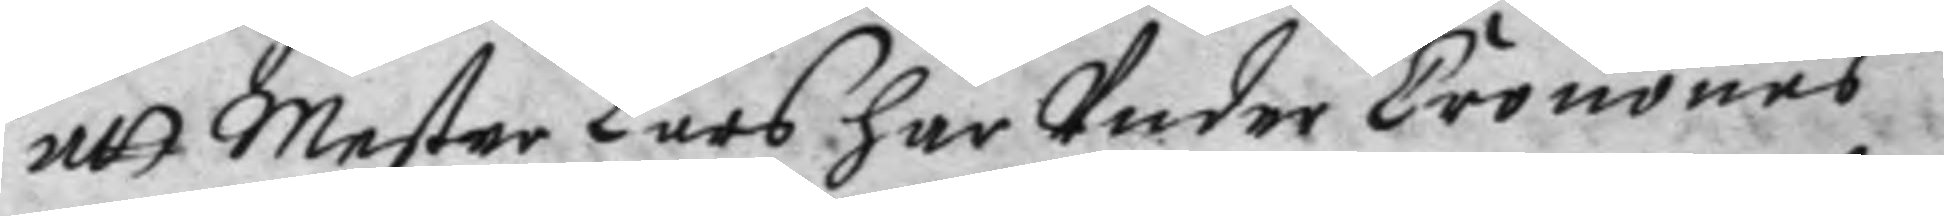att Mester Lars har Under Cronones
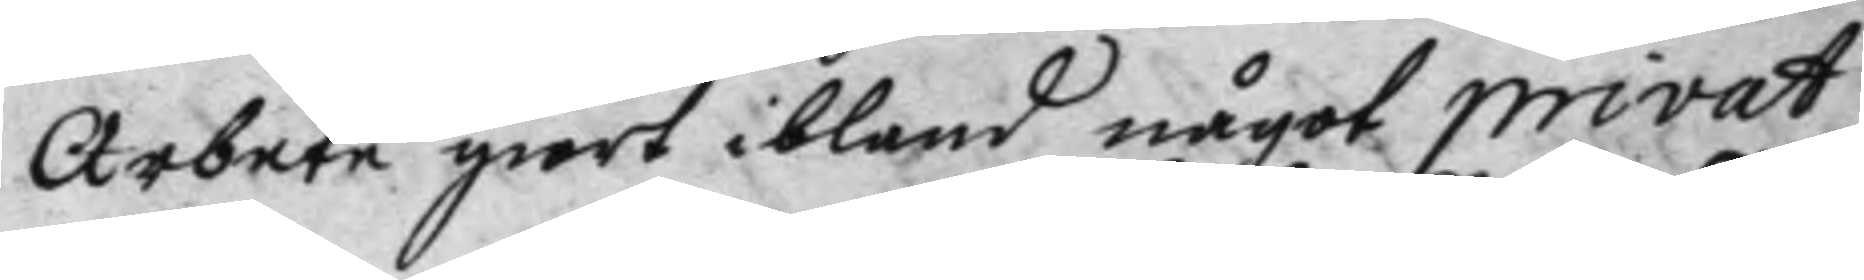Arbete giort ibland något privat
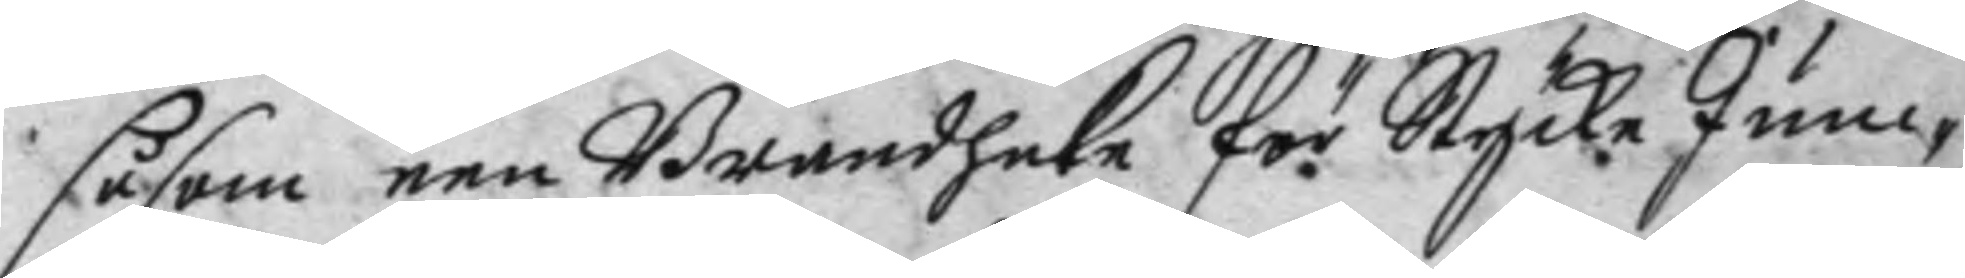såsom een Brandhage för Stycke Jun¬
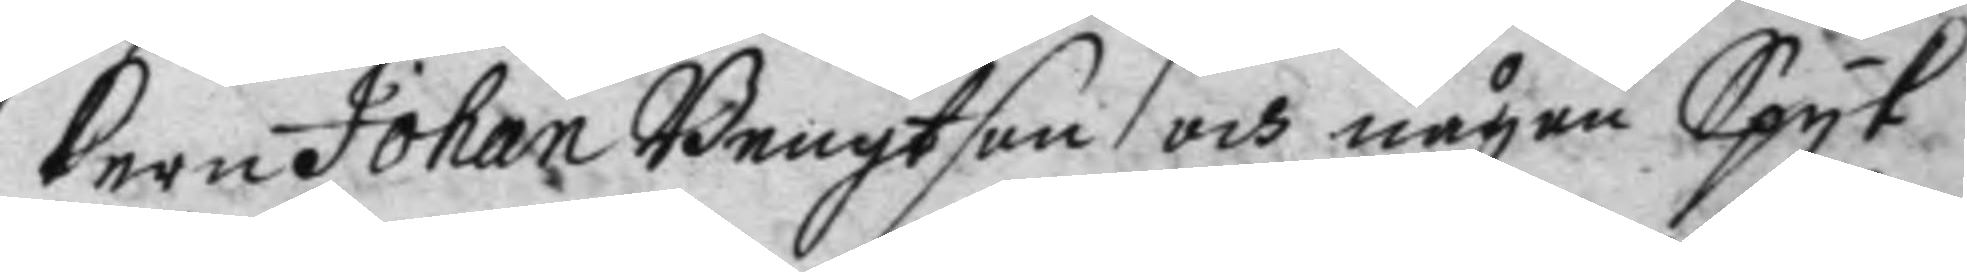kern Johan Bengtson och någen Spyk
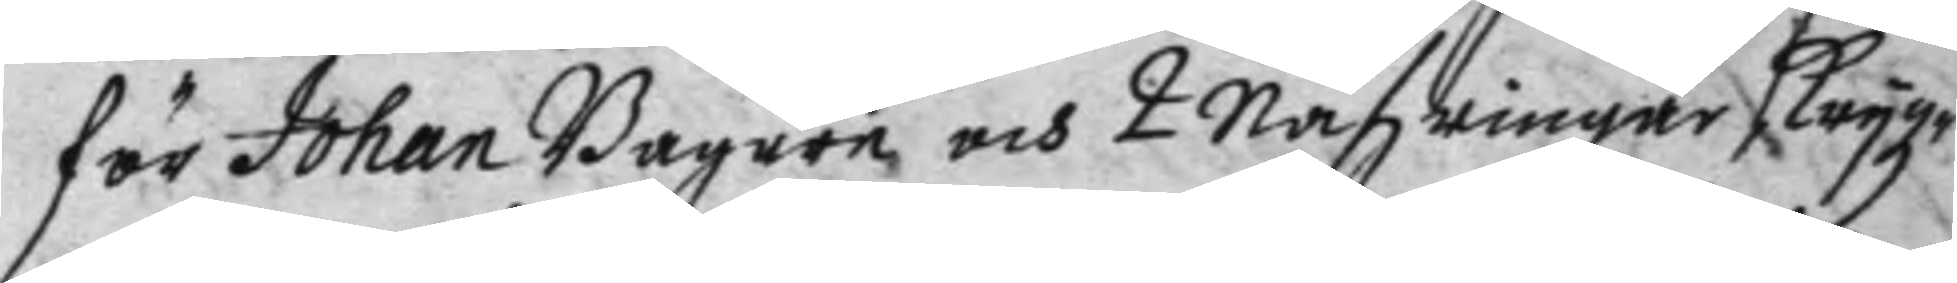för Johan Bagere och 2 nafzrinar Krygz¬
